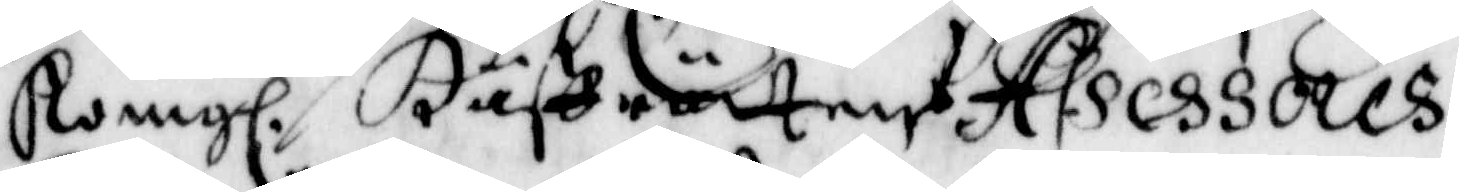Kong. Håffrätten. Assessores
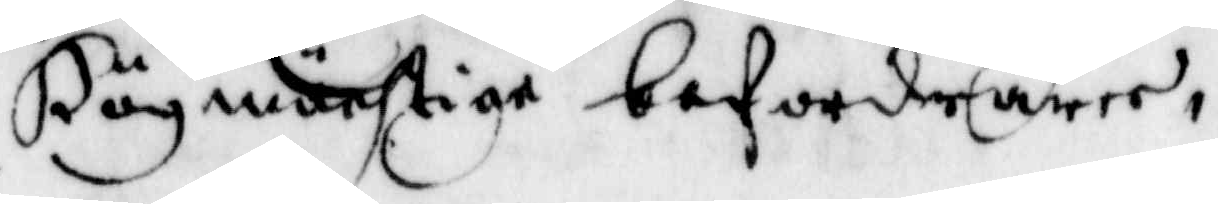Högmächtige befordrare.
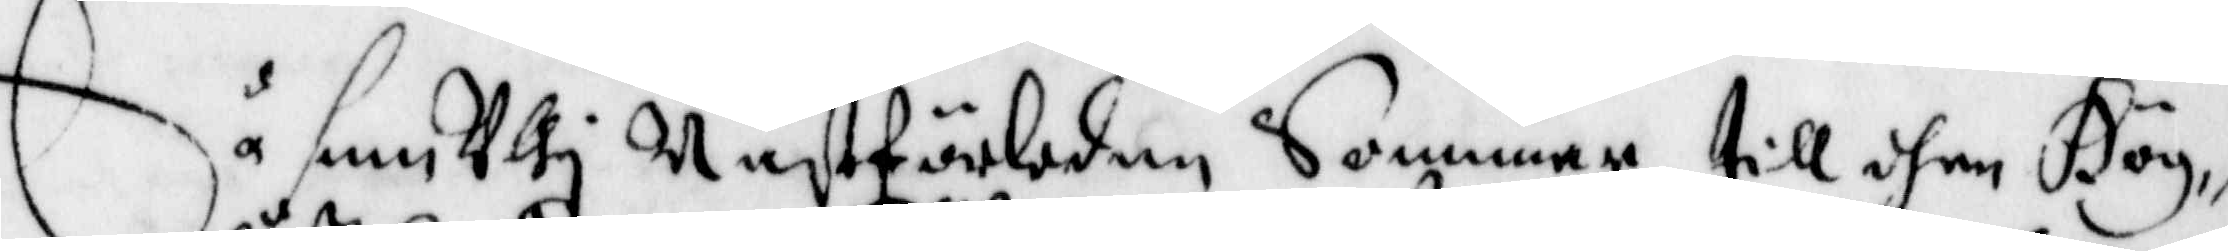Så som Uthj Nästförleden Sommar till dhen Hög¬
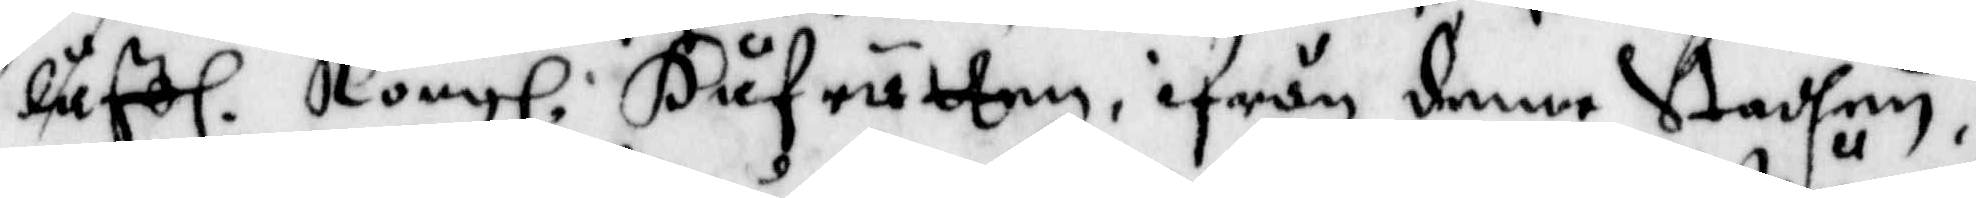låffl. Kong. Håfrätten, ifrån denne Stadhen,
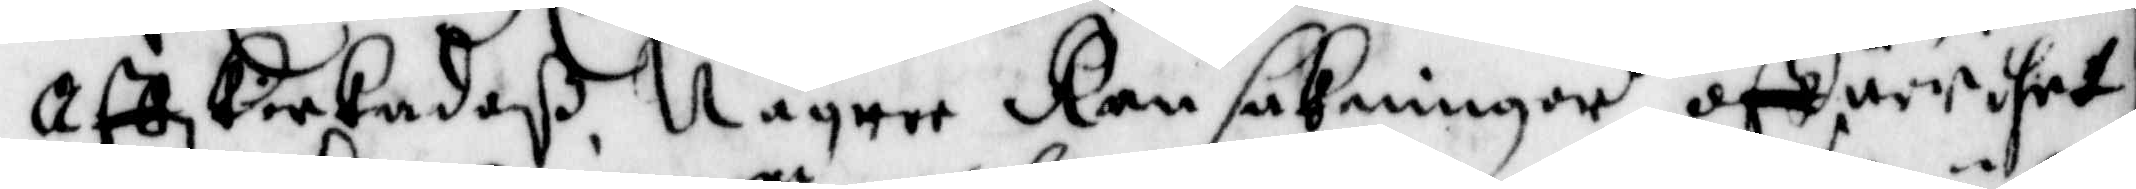Affskickadeß, Någrre Ransakninger öffwer thet
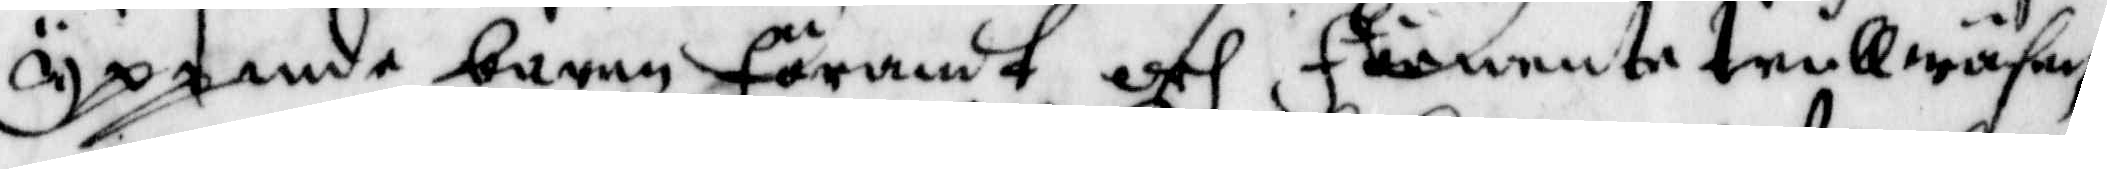yppande barnn Förandt och Förnente trullwäsen
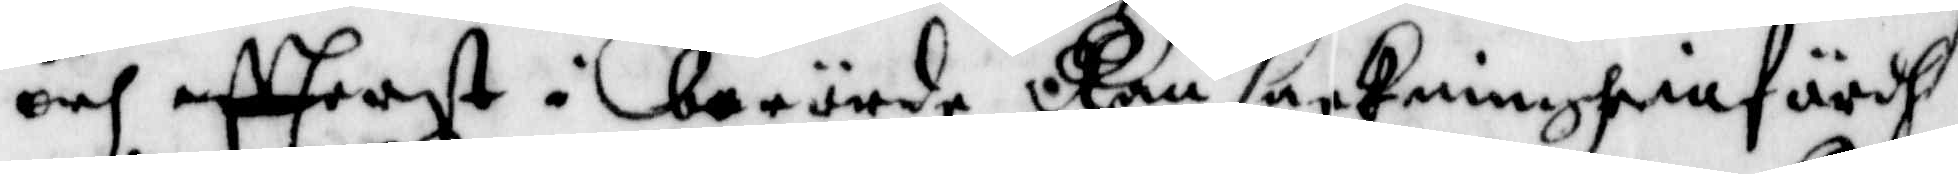och affrest i berörde Ransaakningh infördh
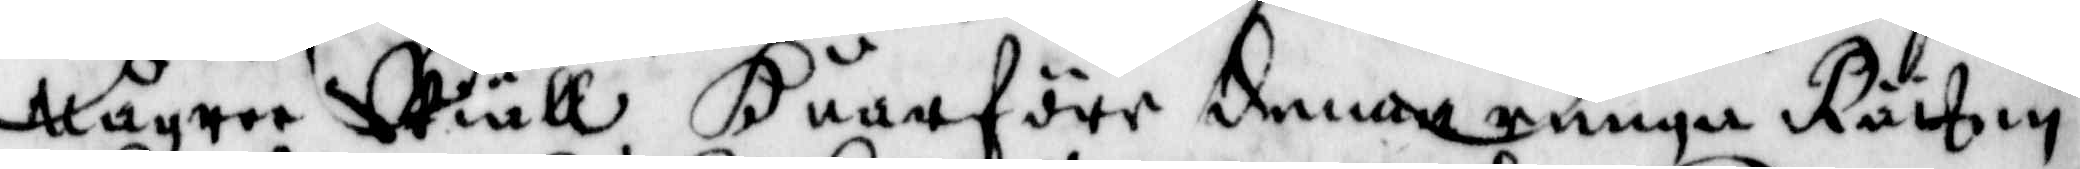Någree Skiäll Huarföre denna ringa Rätten
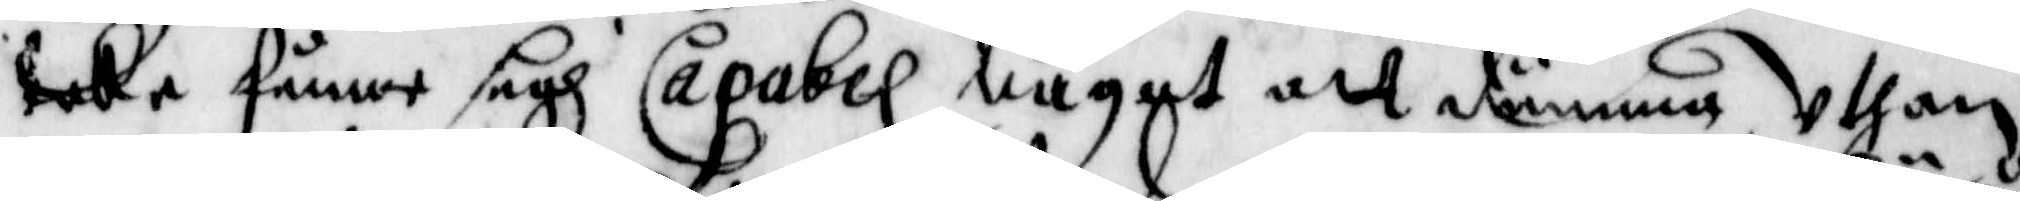icke funne sigh Capabel något att dömma, Uthan
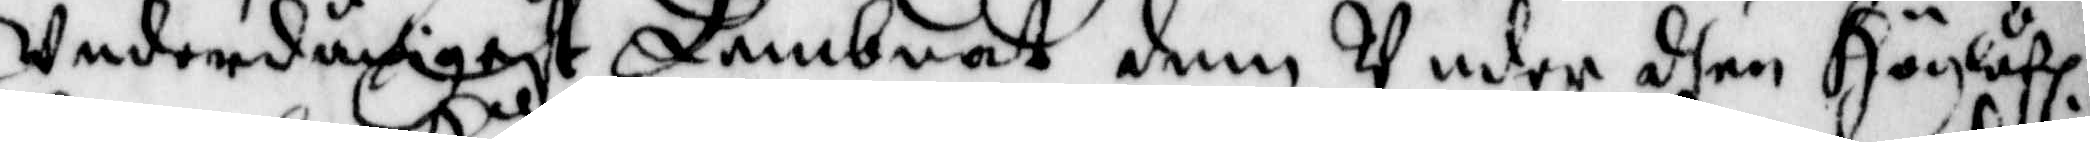Underdånigast Lembnat dem Under den Höglåf.
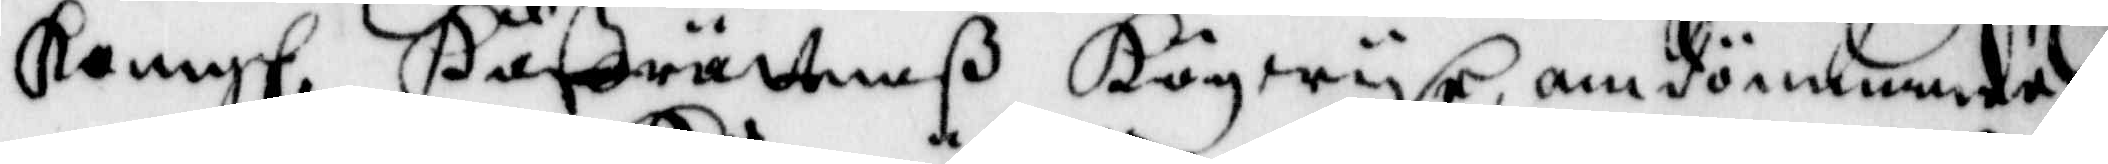Kong. Håffrättenß Högwijse, omdömmande
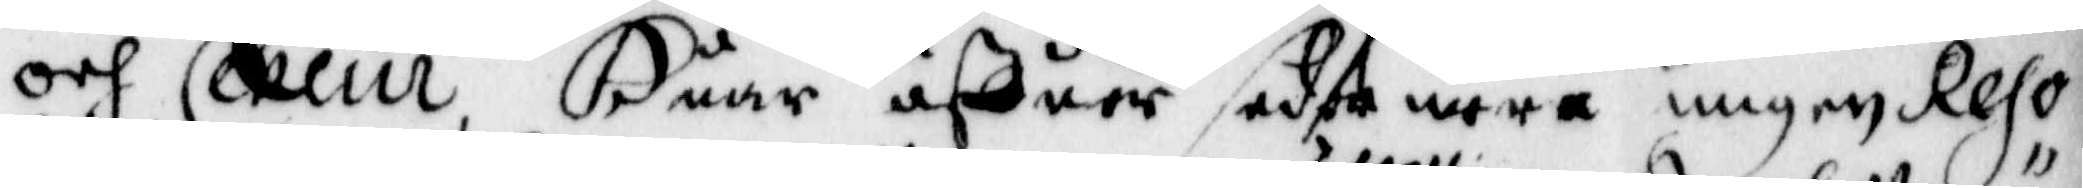och Ceseur Huar öffuer sedermera ingen Reso¬
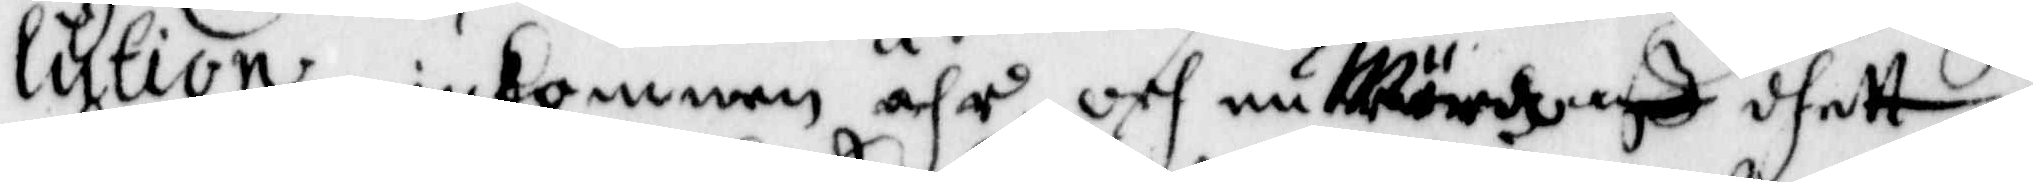lution inkommen ähr, och nu Wördz aff dhett
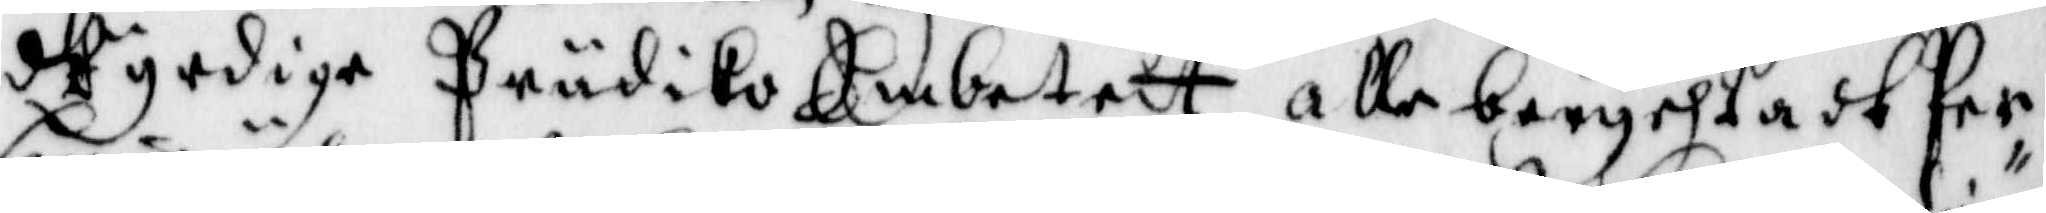wyrdige Prädiko Embetett alle berychtadt Per¬
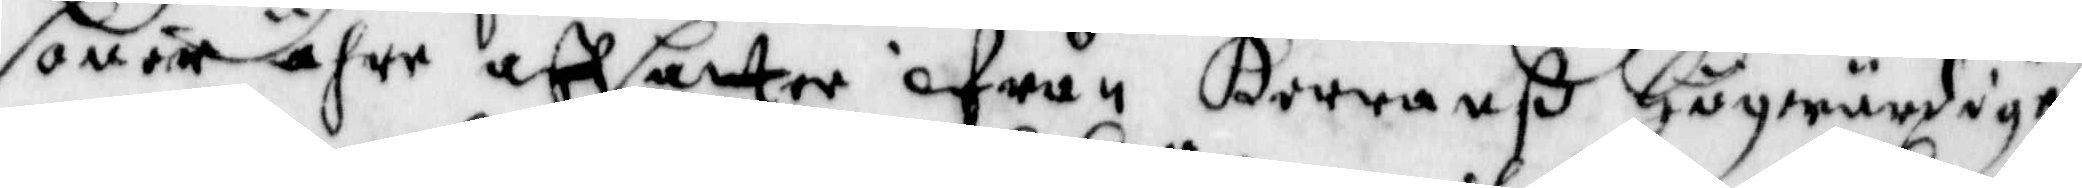soner ähre affsatter ifrån Herranß Högwärdige
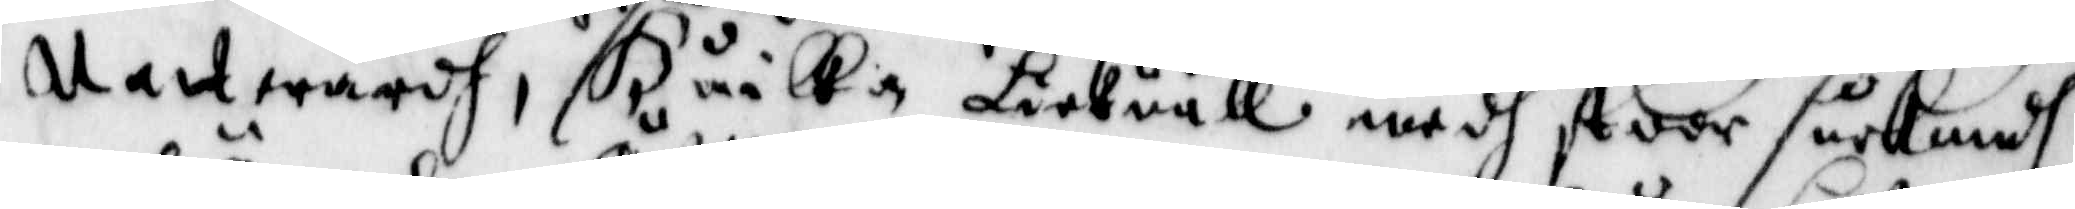Nattwardh, Huilka Lickväll medh stoor sucknadh
